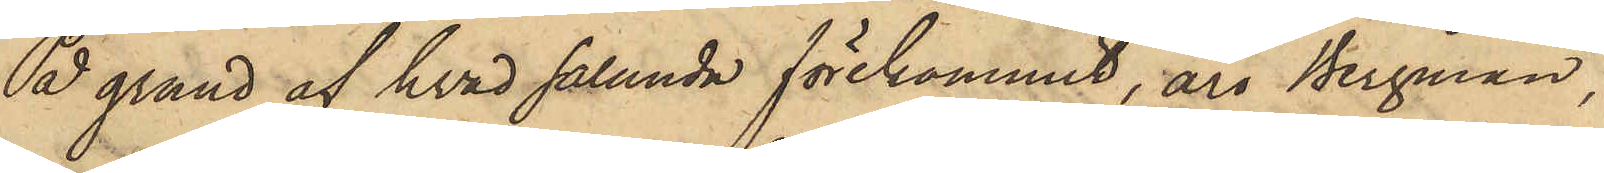På grund af hvad sålunda förekommit, äro Bergman,
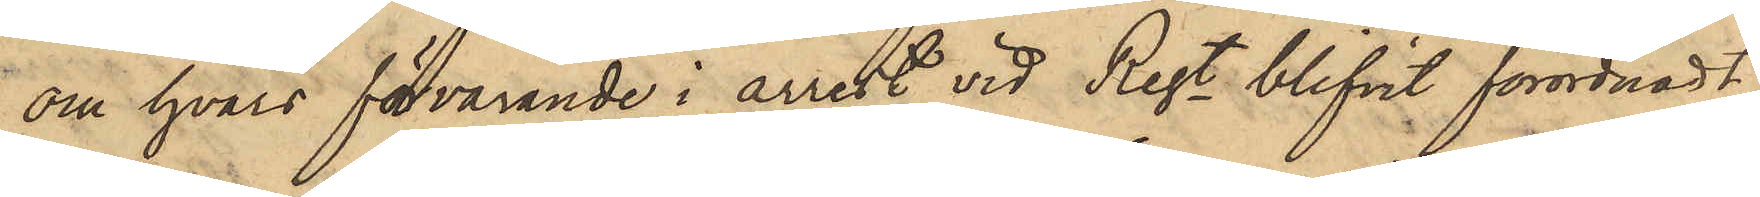om hvars förvarande i arrest vid Regt blifvit förordnadt,
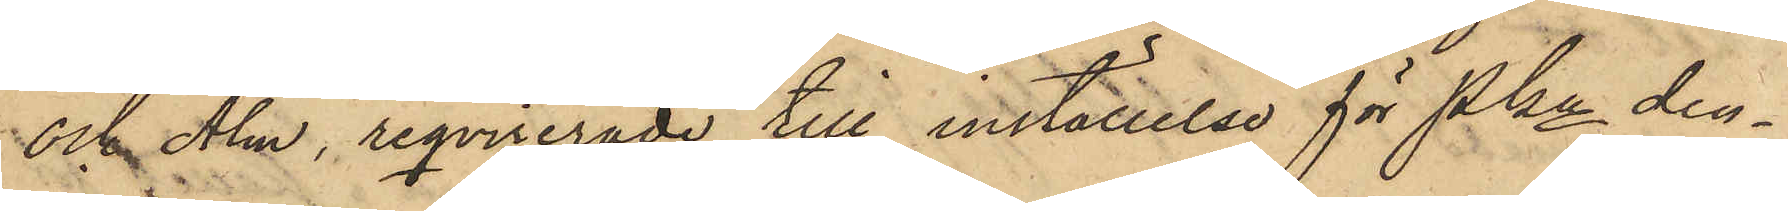och Alm, reqvirerade till inställelse för Pkn den¬
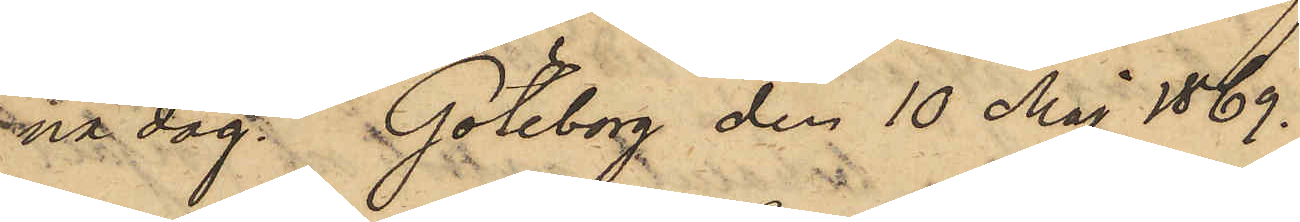na dag. Göteborg den 10 Maj 1869.
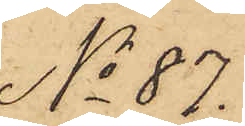No 87.
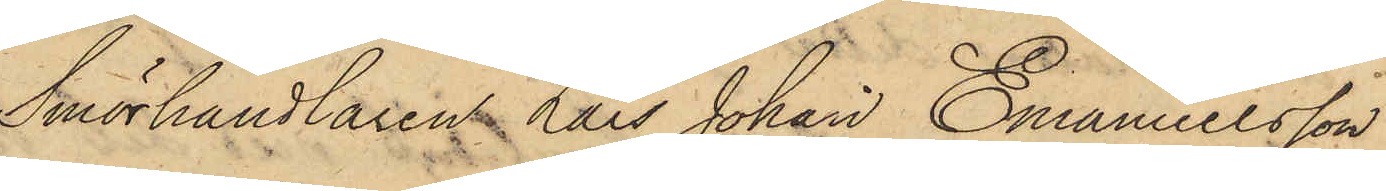Smörhandlaren Lars Johan Emanuelsson
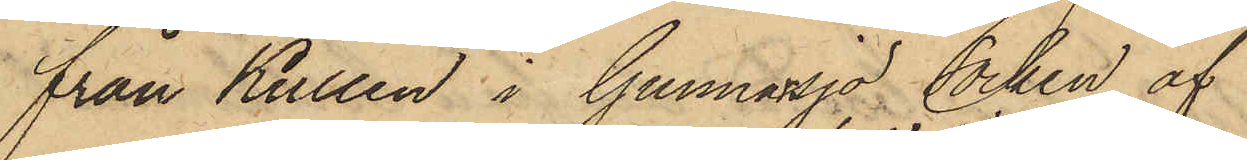från Kullen i Gunnarsjö Socken af
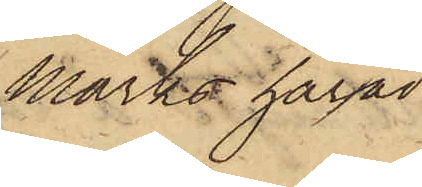Marks härad
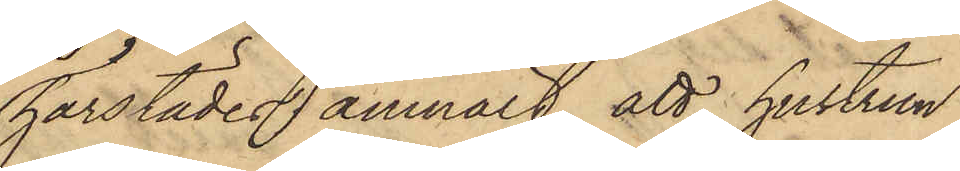härstädes anmält, att hustrun
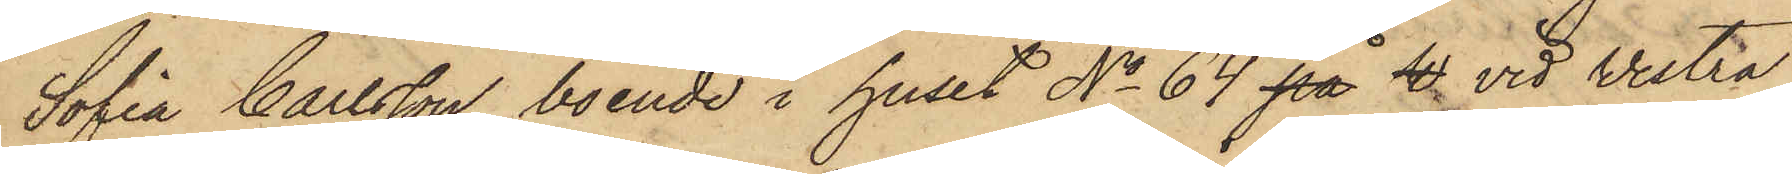Sofia Carlsson, boende i huset No 64 på W vid Vestra
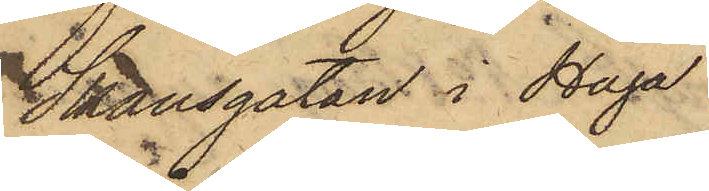Skansgatan i Haga
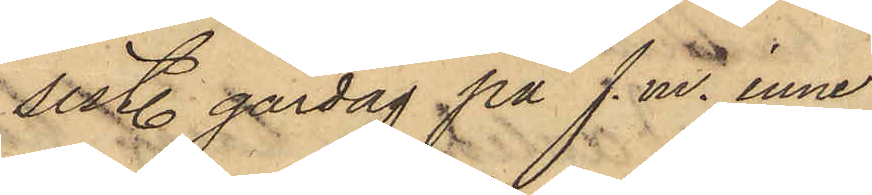sistl. gårdag på f.m. inne
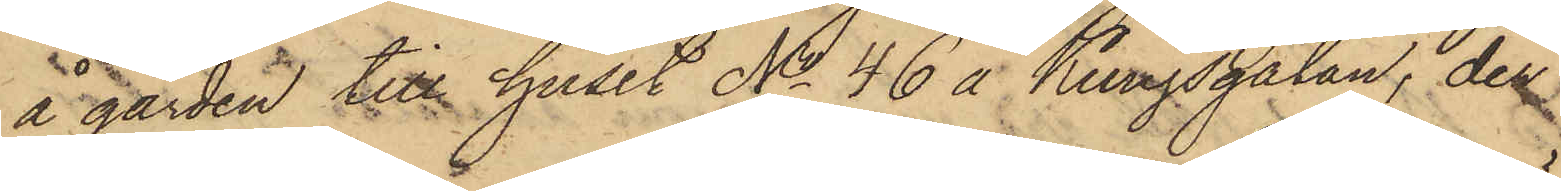å gården till huset No 46 å Kungsgatan, der
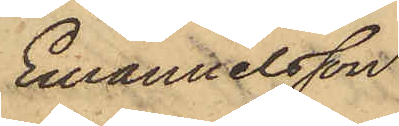Emanuelsson
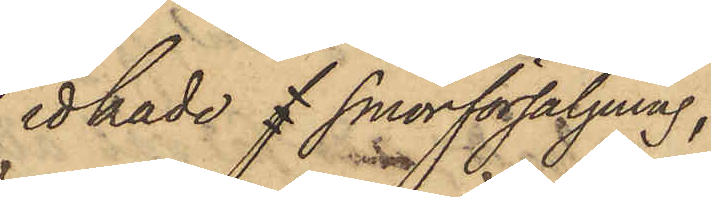idkade f smörförsäljning,
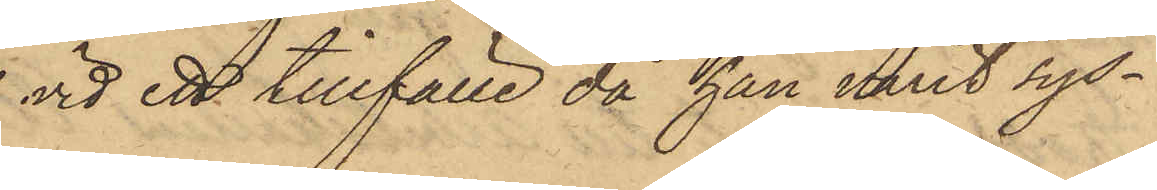vid ett tillfälle då han varit sys¬
